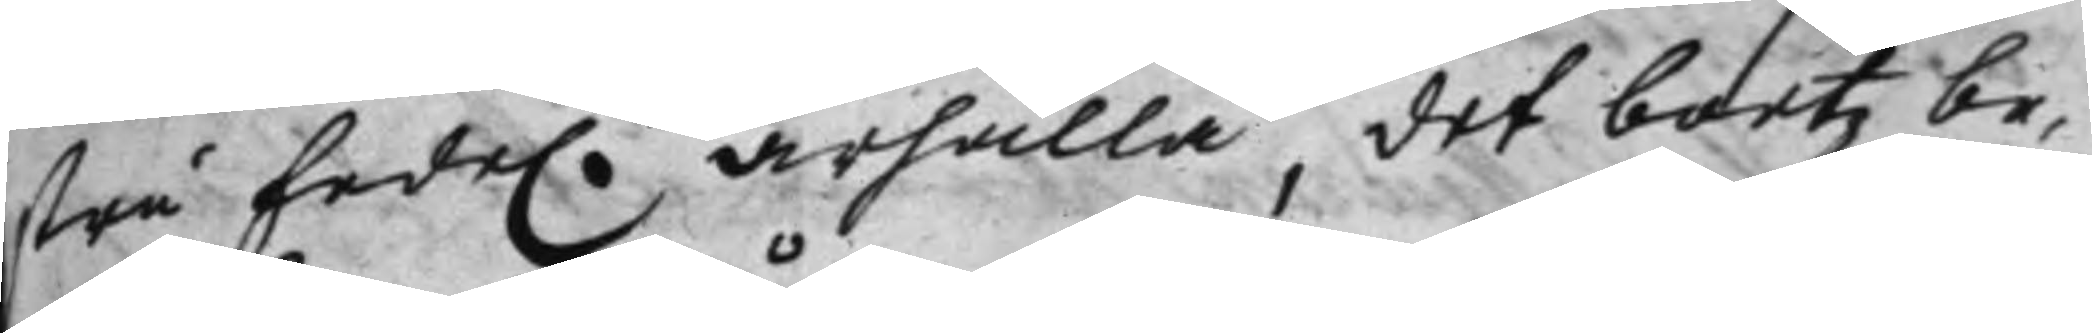tru Eede. ärhålla, det boetz be¬
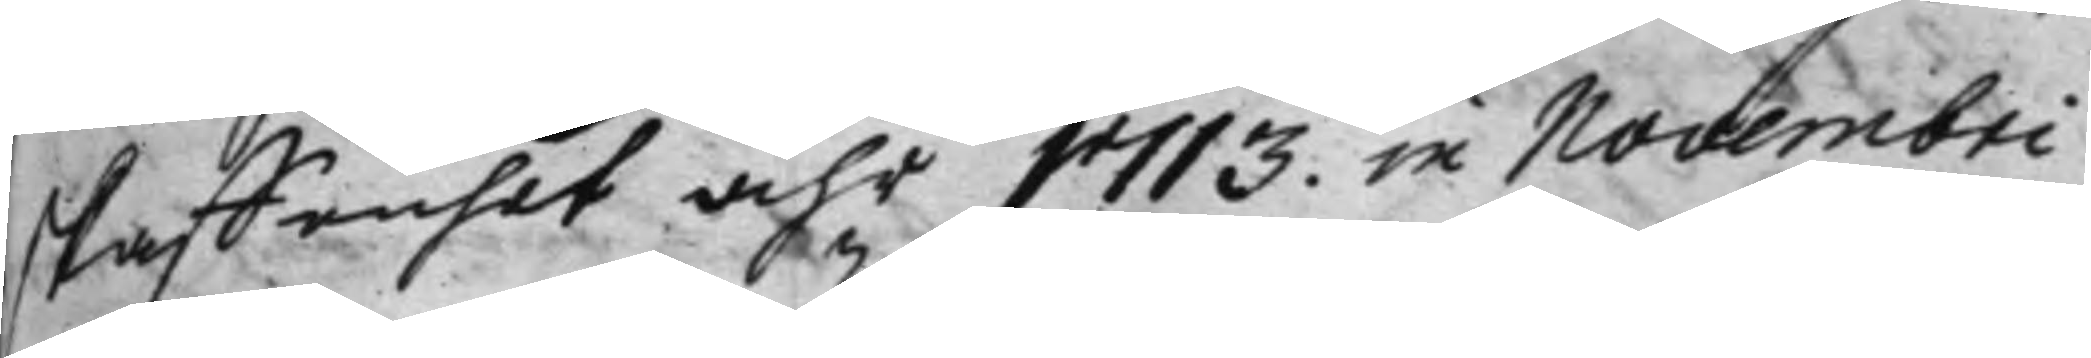skaffenhet åhr 1713. in Novembri
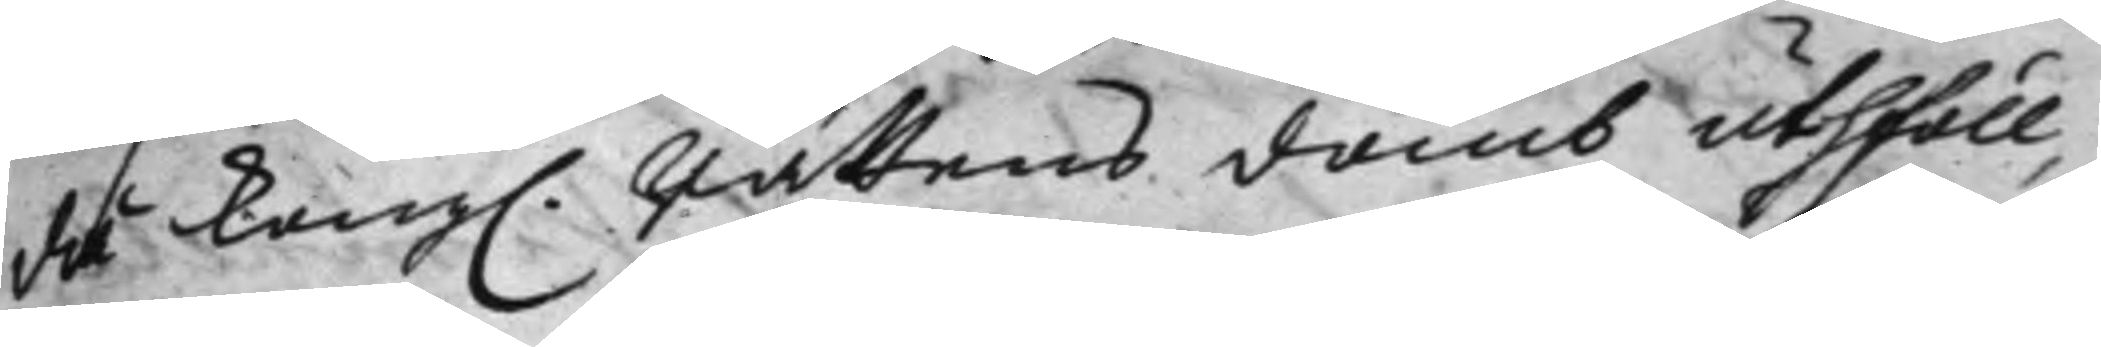då Kong. Rättens domb uthföll,
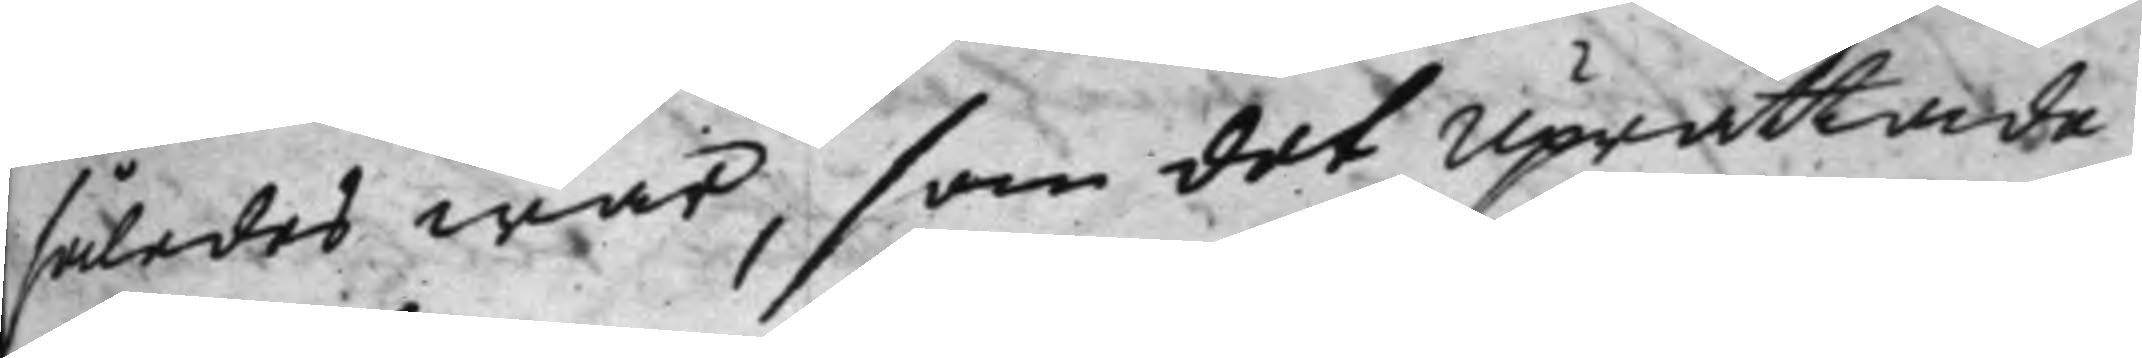således war, som det Uprättade
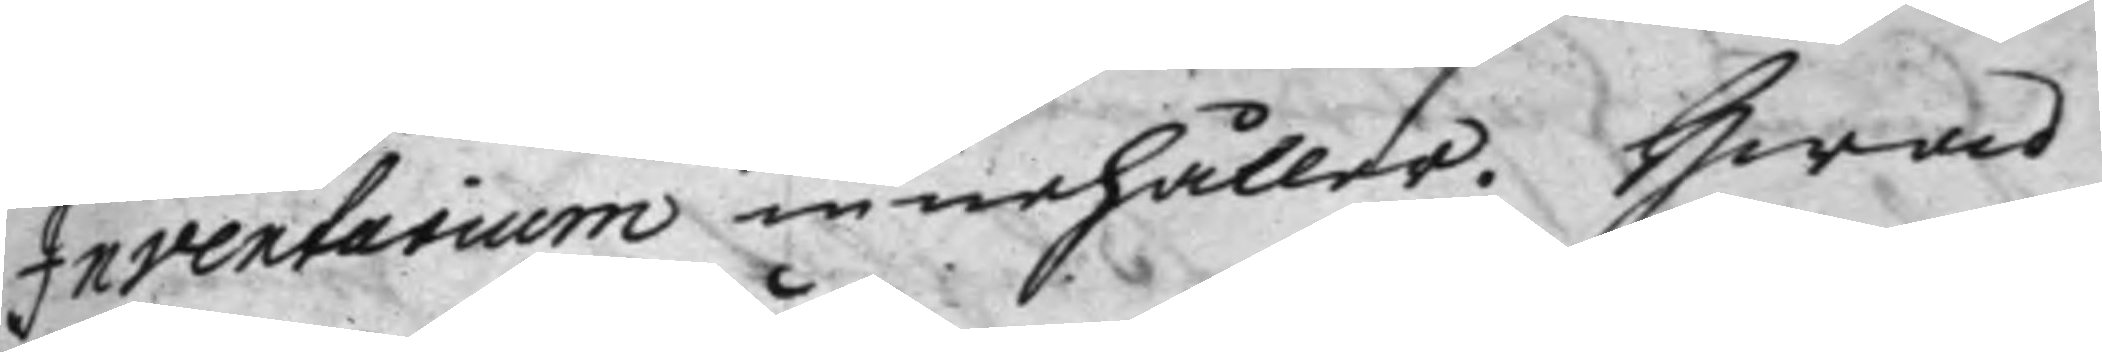Inventarium innehåller. Hwad
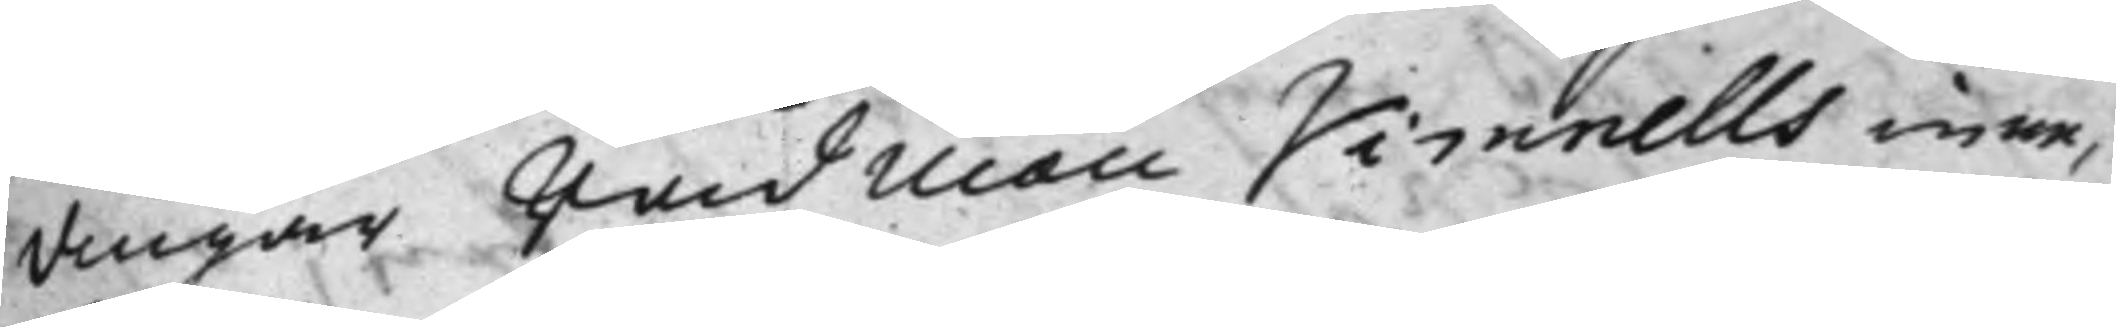amgår rådman Vimnells inne¬
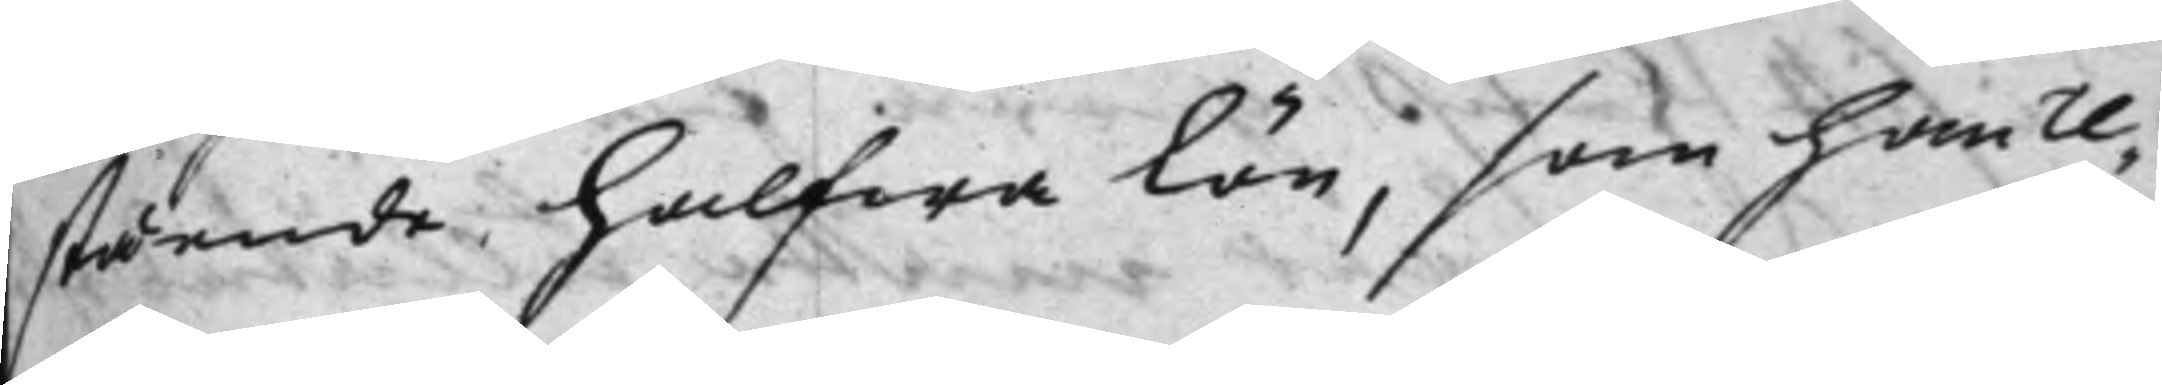stående, halfwa lön, som han re¬
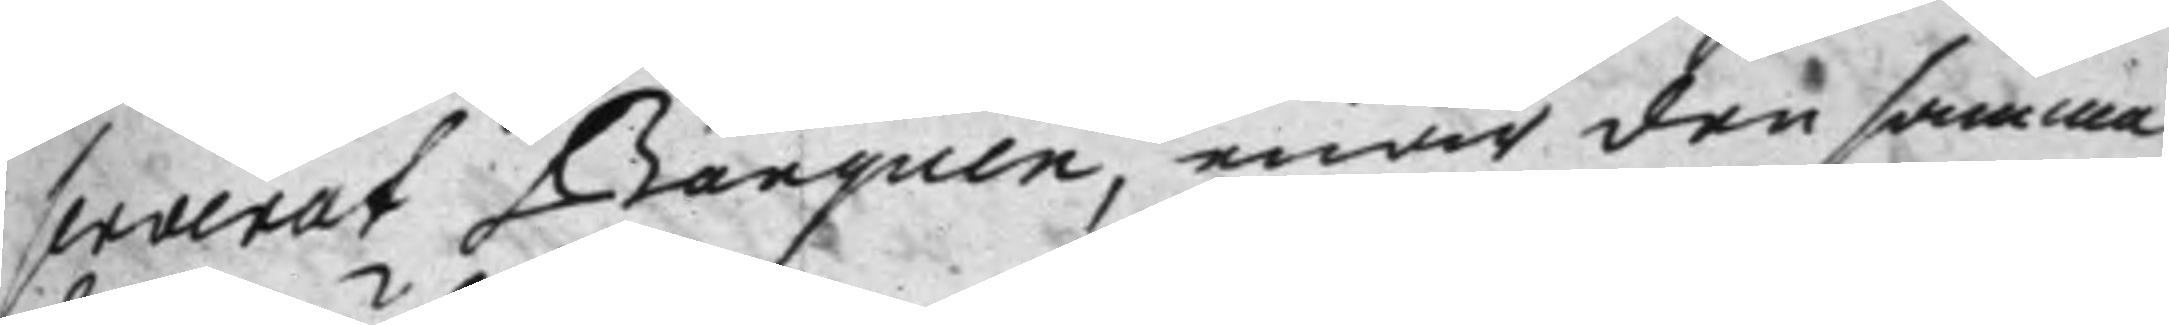serverat Banquen, enär den samma
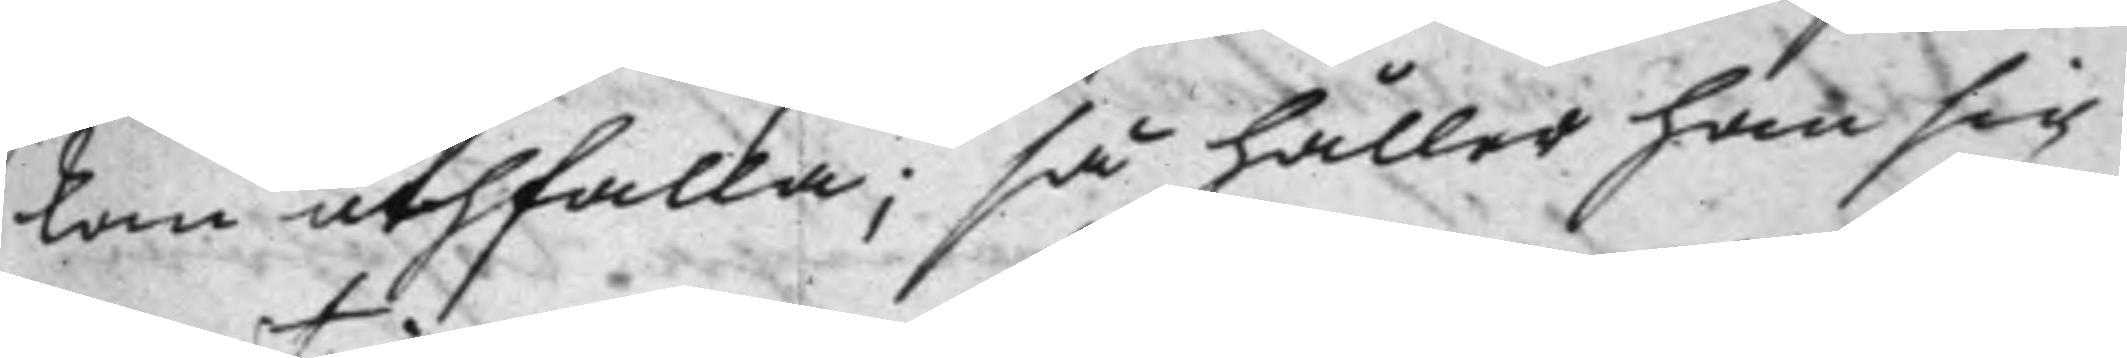kan uthfalla; så håller han sig
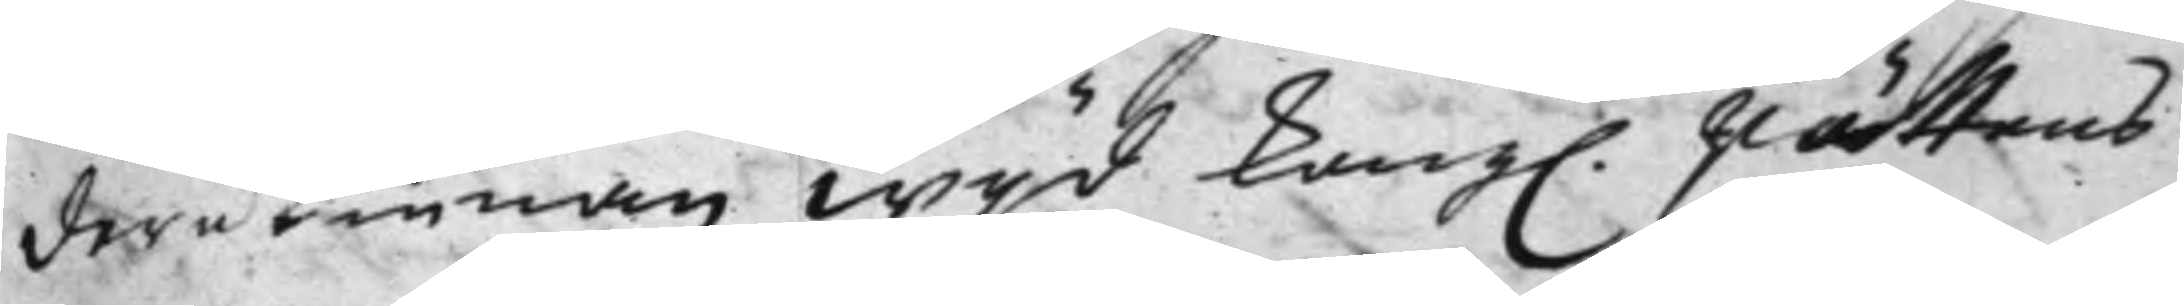derutinnan wijd Kongl. Rättens
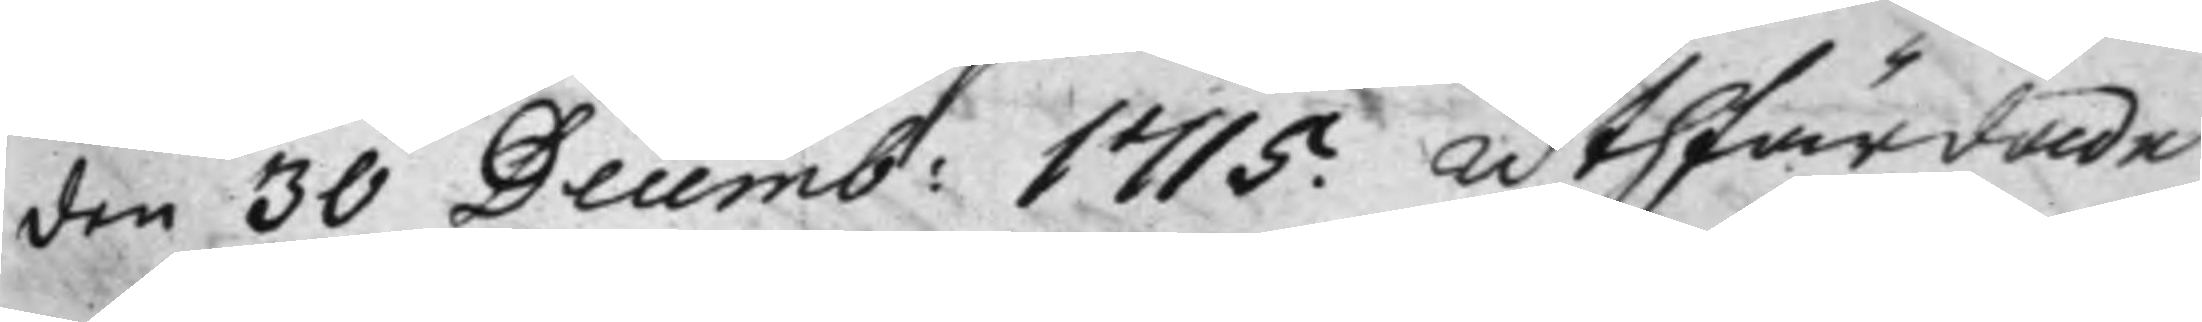den 30 Decemb: 1715. uthfärdade
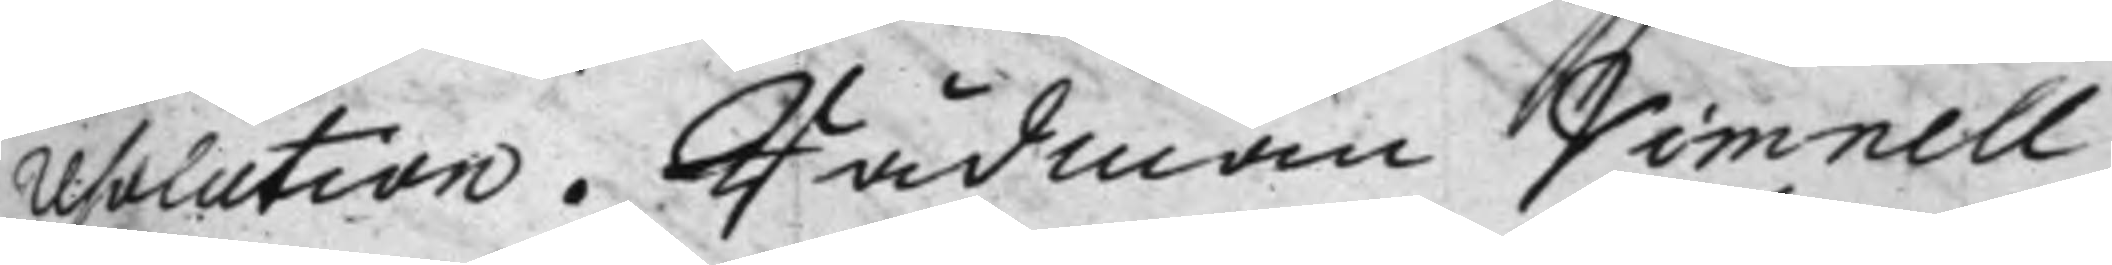resolution. Rådman Vimnell
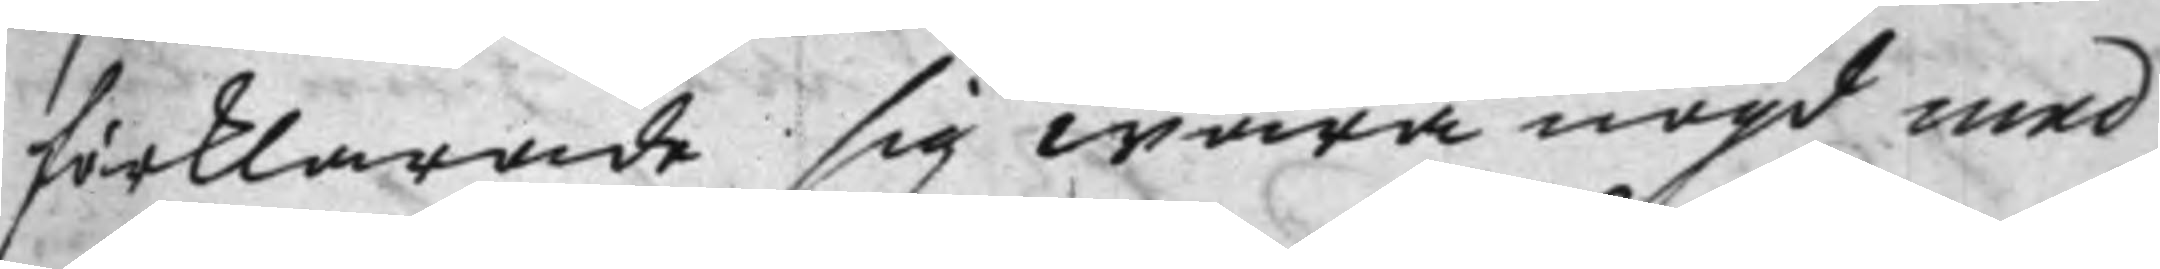förklarade sig wara nögd, med
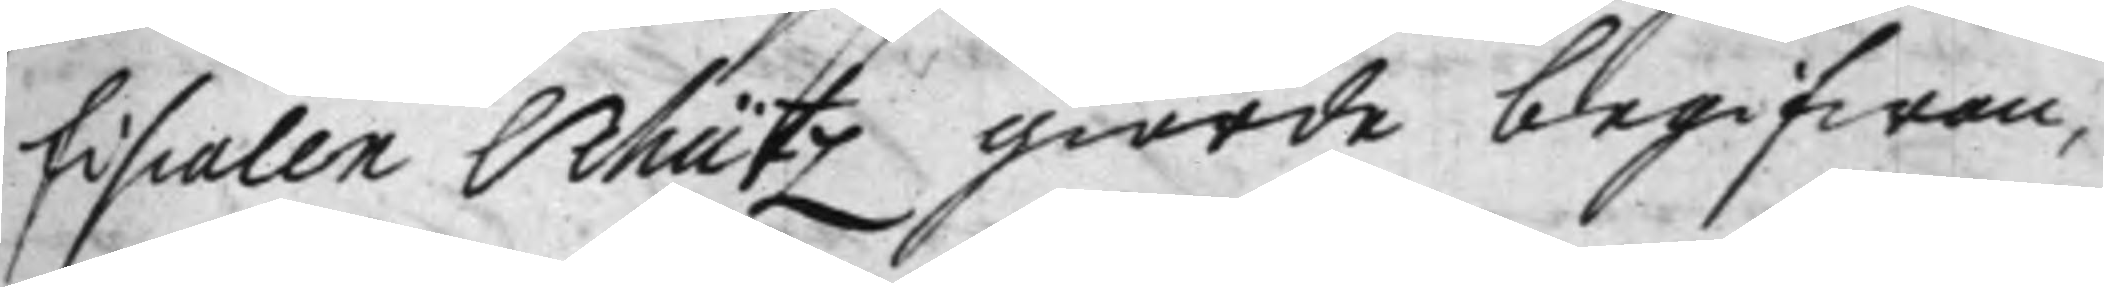fiscalen Schütz giorde begifwan¬
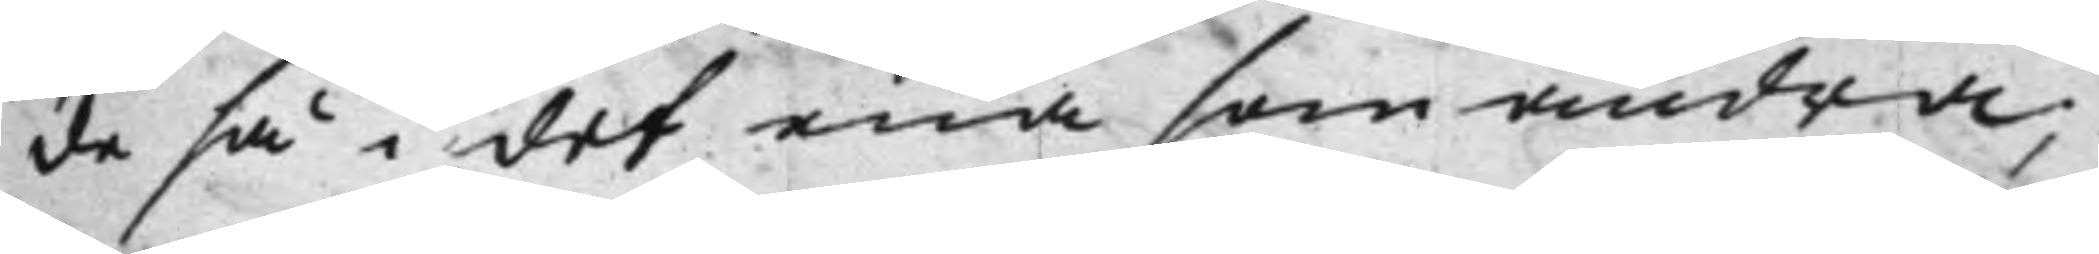de så i det ena som andra:
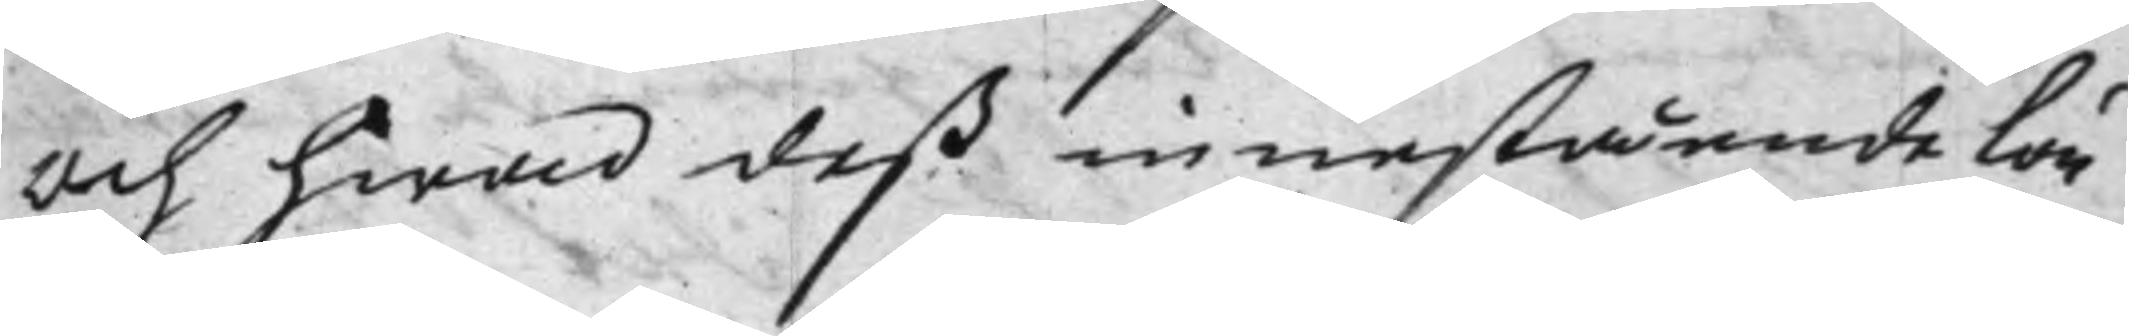och hwad deß innestående lön
